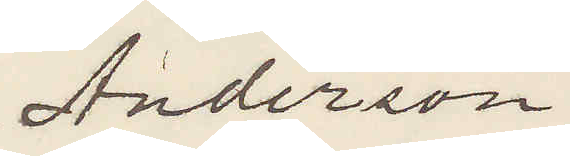Anderson.
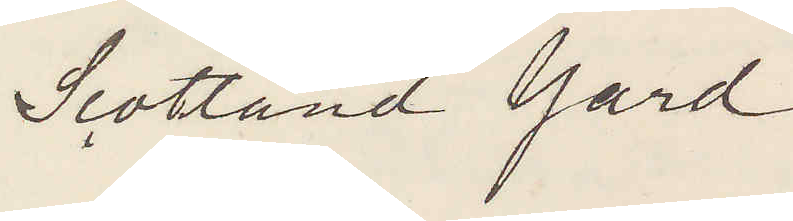Scotland Yard
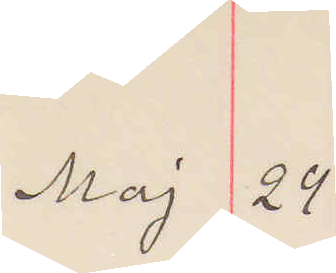Maj 24
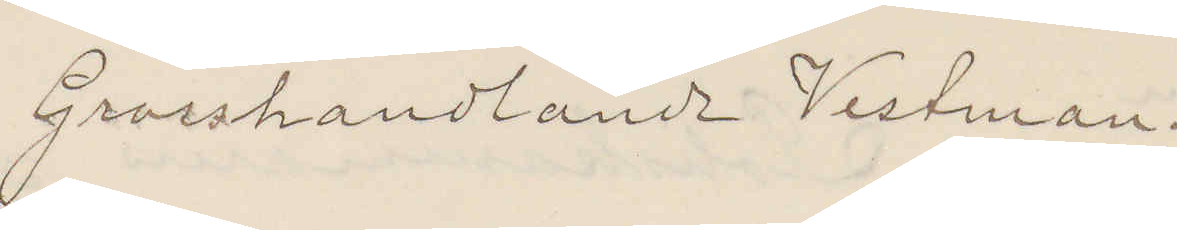Grosshandlande Vestman.
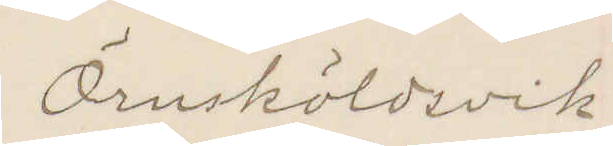Örnsköldsvik
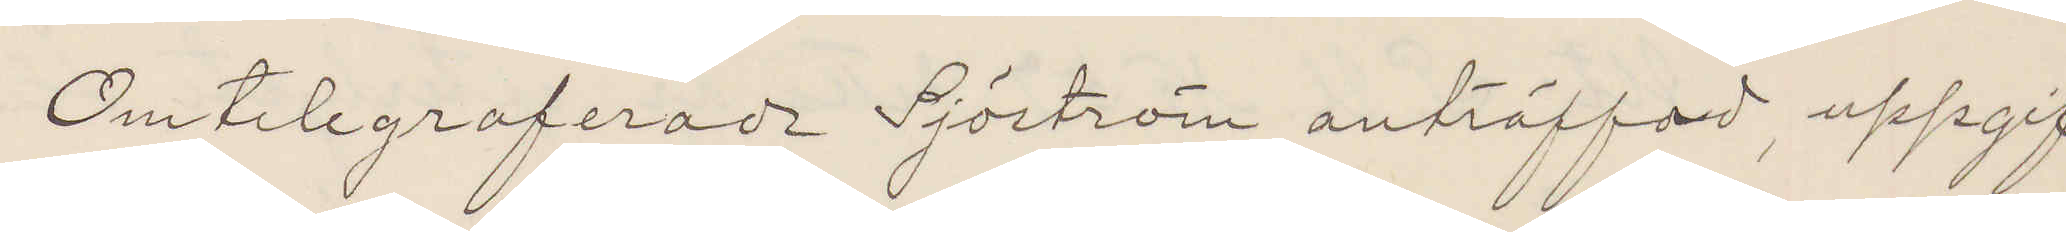Omtelegraferade Sjöström anträffad uppgif¬
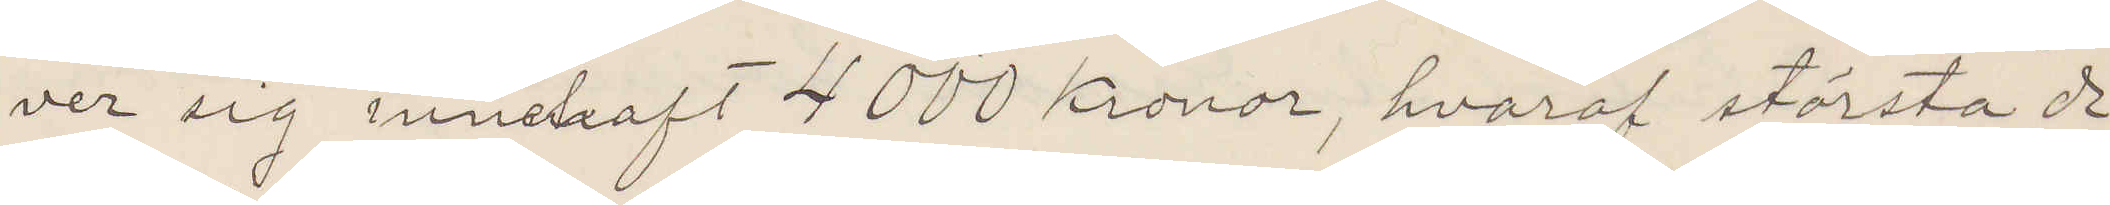ver sig innehaft 4000 kronor, hvaraf största de¬
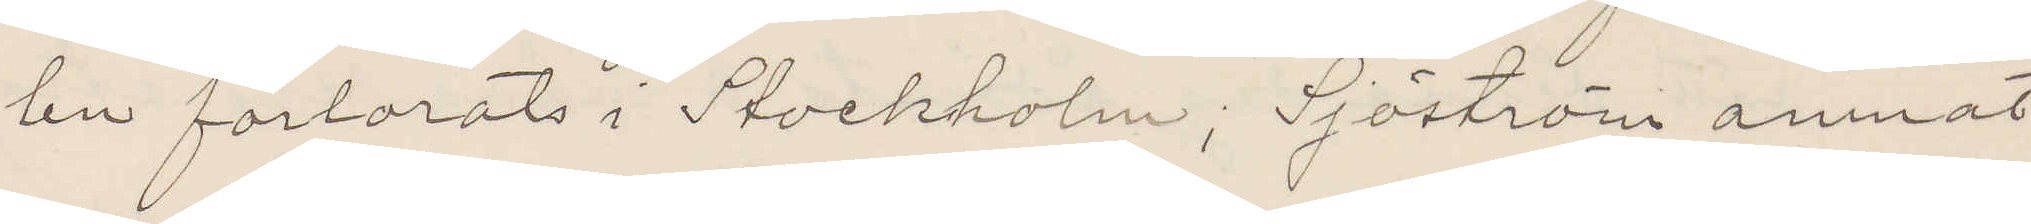len förlorats i Stockholm, Sjöström amnat
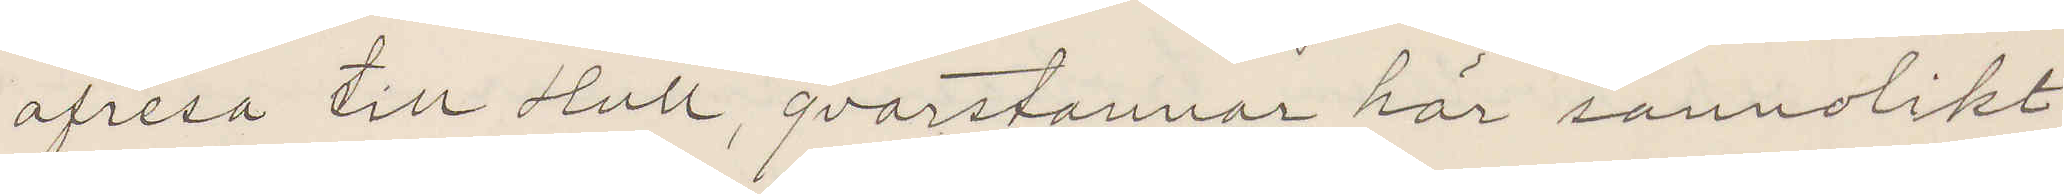afresa till Hull, qvarstannar här sannolikt
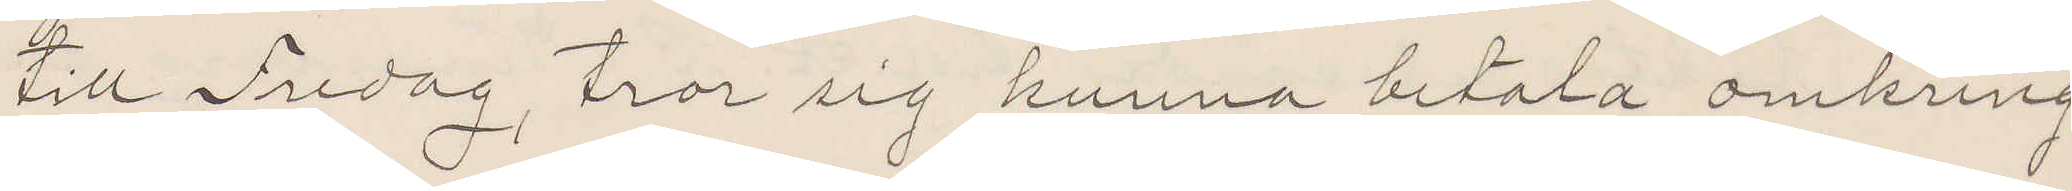till Fredag, tror sig kunna betala omkring
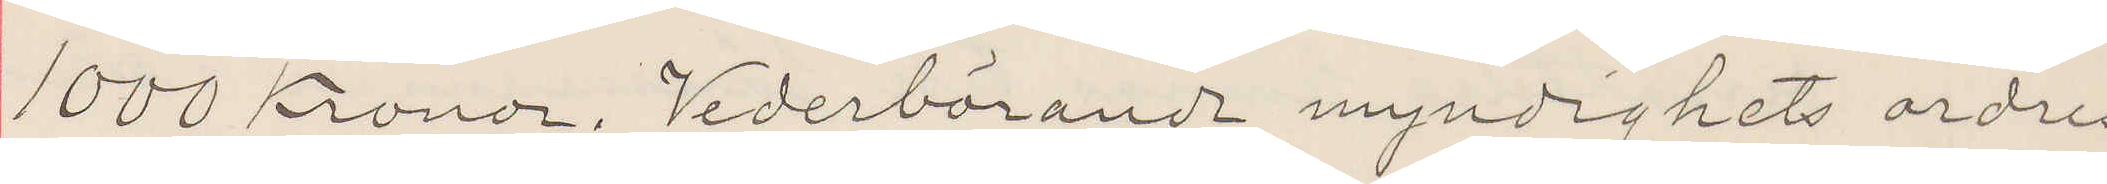1000 Kronor. Vederbörande myndighets ordres
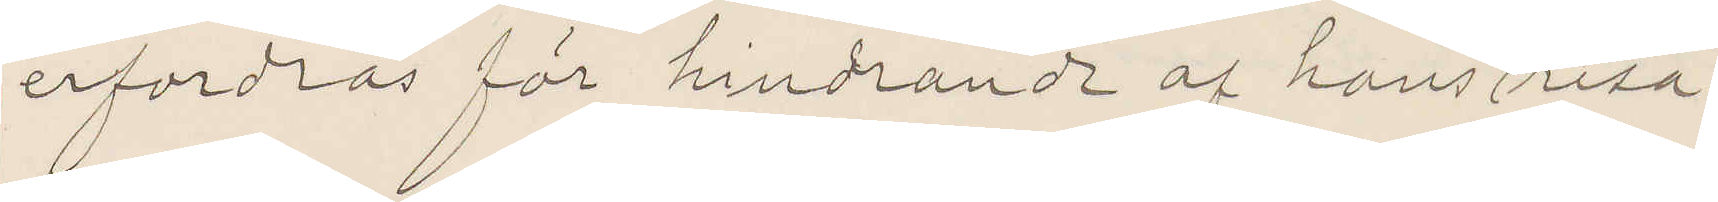erfordras för hindrande af hans afresa.
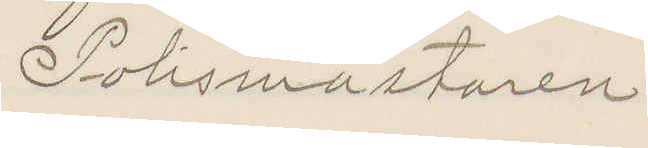Polismästaren
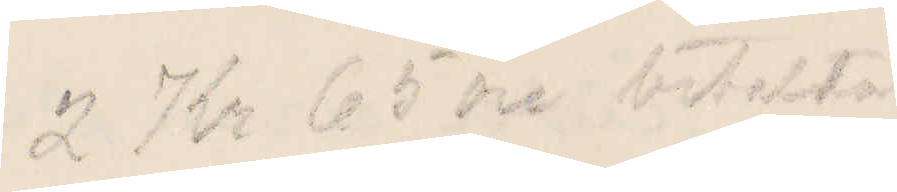2 Kr 65 öre betalda
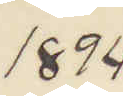1894
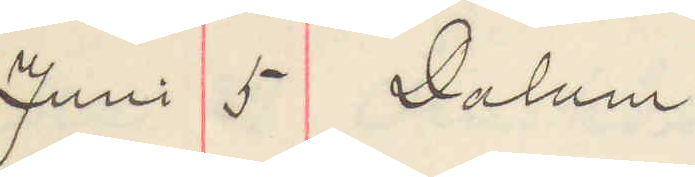Juni 5 Dalum
